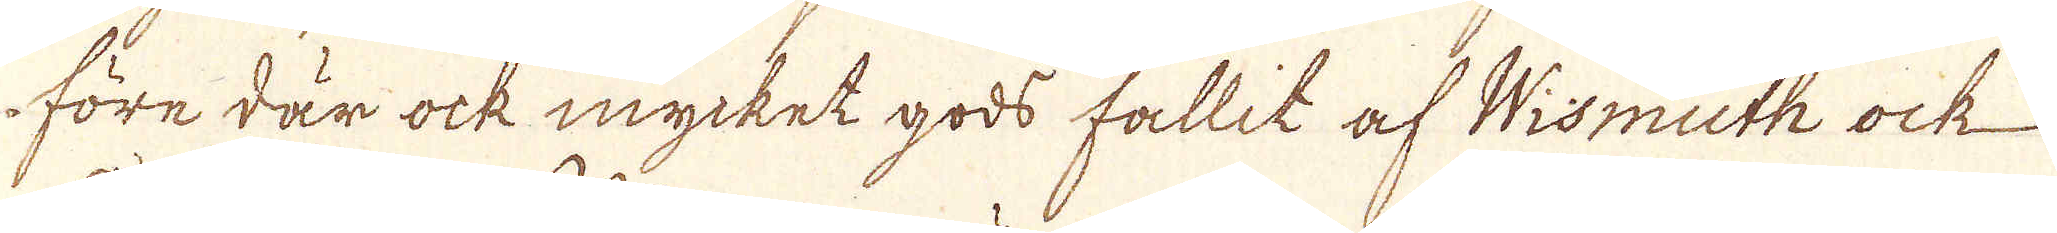före där ock mycket gods fallit af Wismuth ock
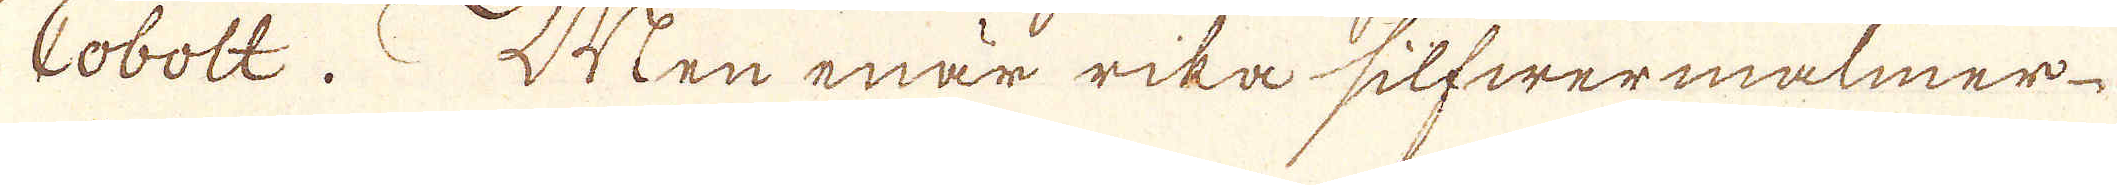Cobolt. Men enär rika silfwermalmer
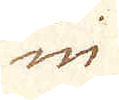in
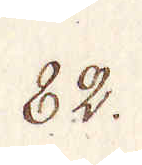82.
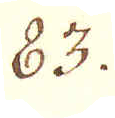83.
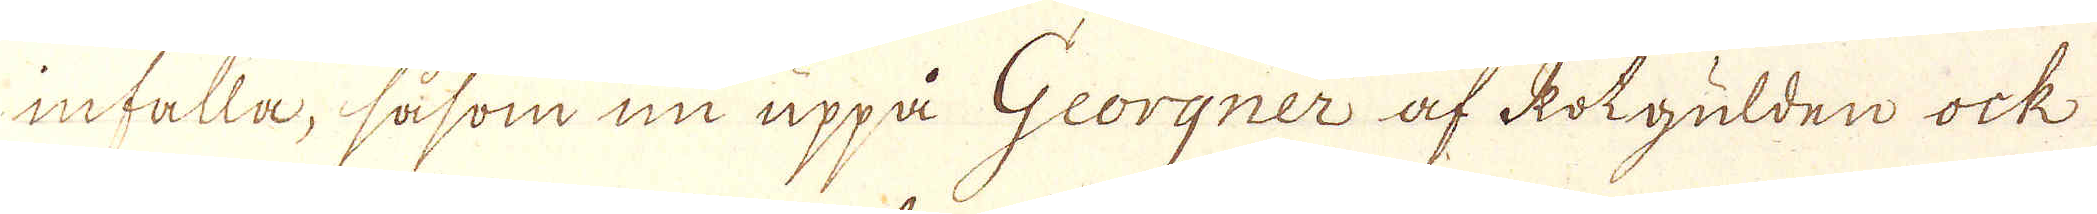infalla, såsom nu uppå Georgner af kotgulden ock
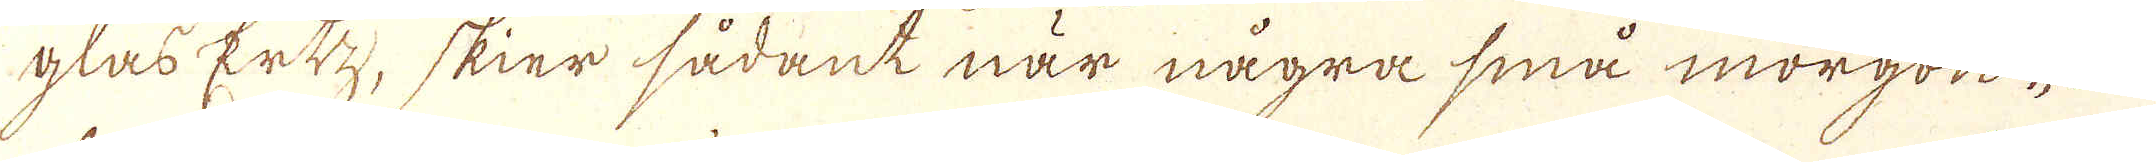glas Ertz, skier sådant när några små morgon-
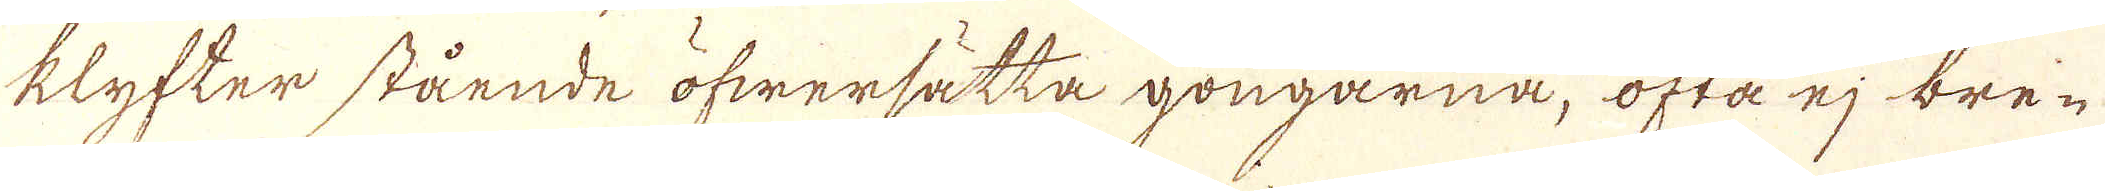klyfter stående öfwersätta gongarna, ofta ej bre-
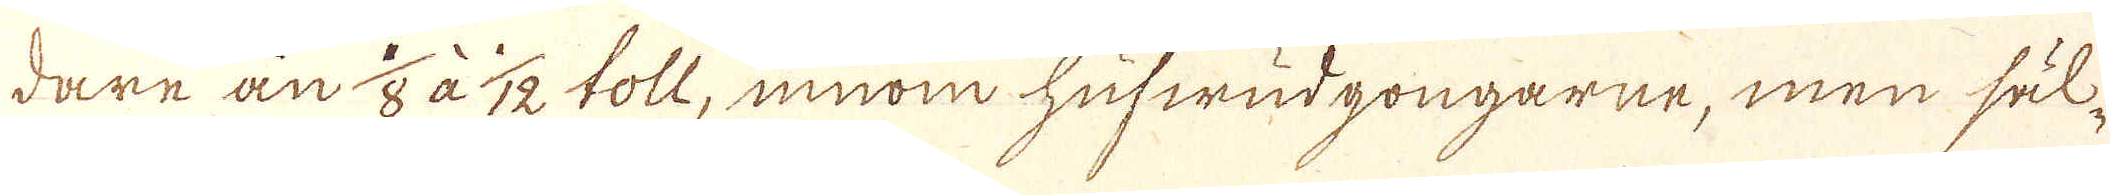dare än 1/2 à 1/12 toll, innom hufwudgongarne, men säl-
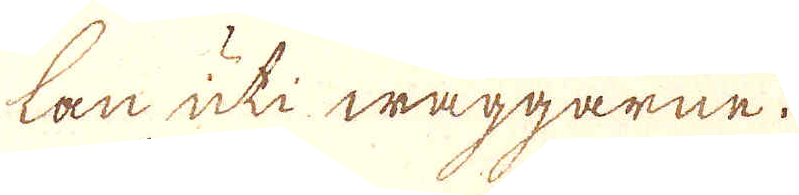lan uti wäggarne.
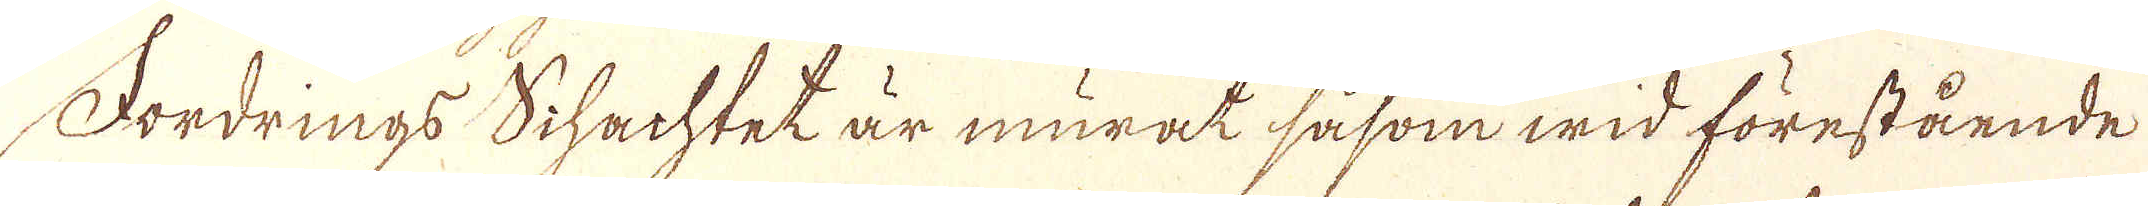Fordrings Schachtet är murat såsom wid förestående
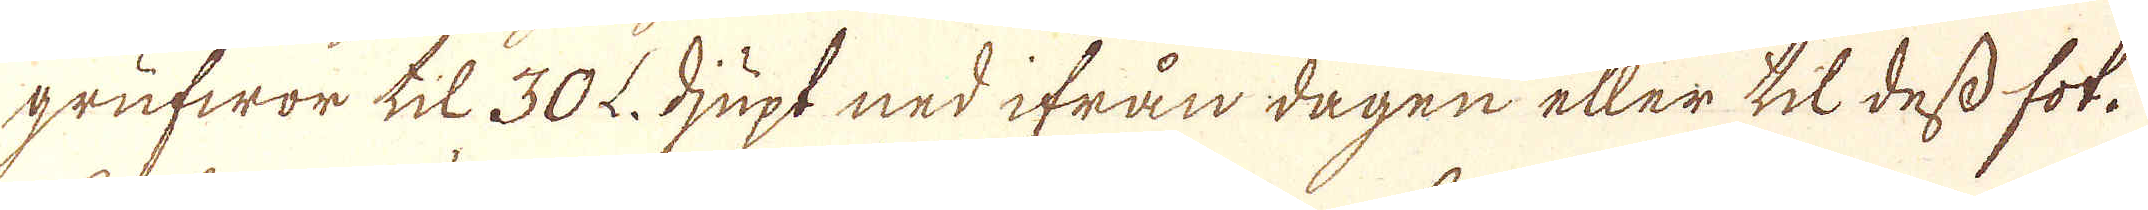grufwor til 30 L. djupt ned ifrån dagen eller til dess fot.
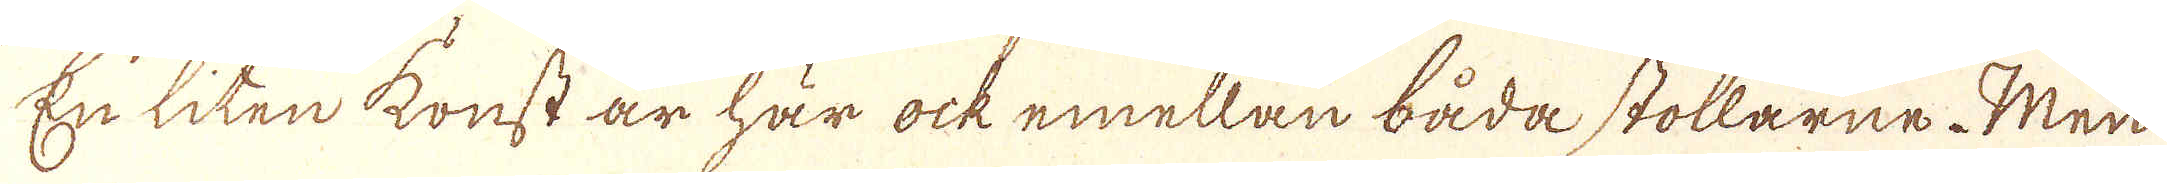En liten konst är här ock emellan båda stollarne. Men
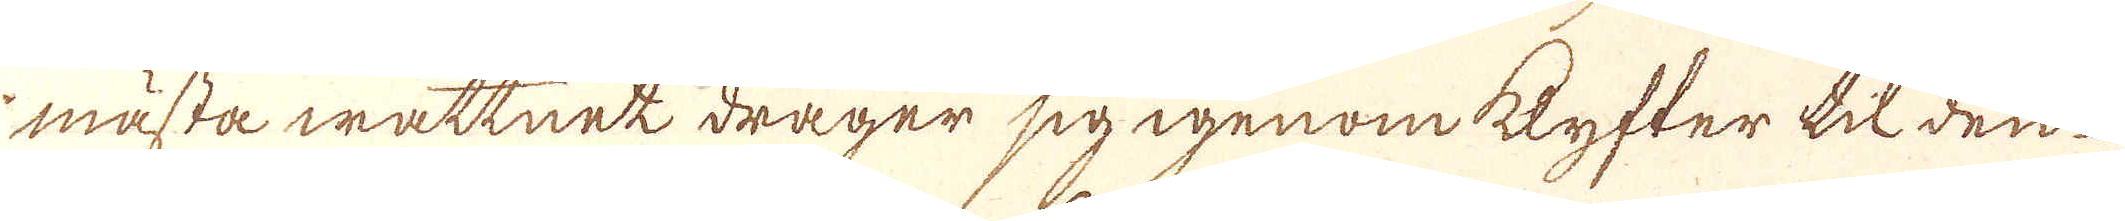mästa wattnet drager sig igenom klyfter til den
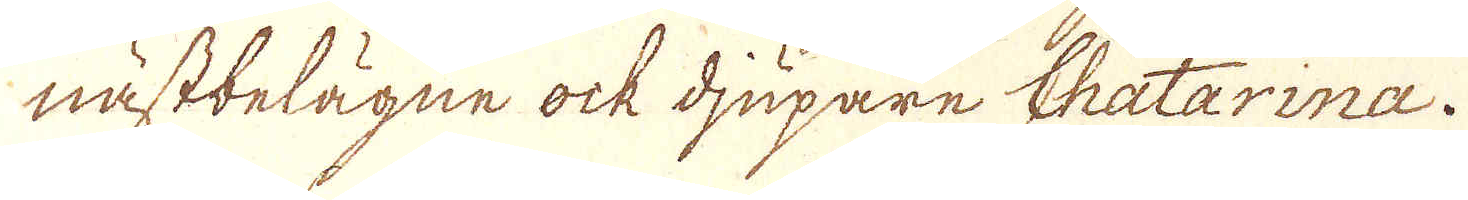nästbelägne ock djupare Chatarinna.
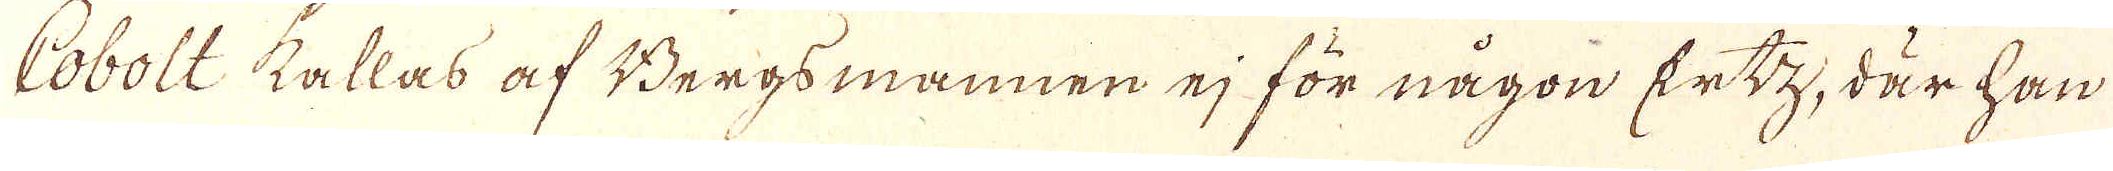Cobolt kallas af Bergsmannen ej för någon Ertz, där han
